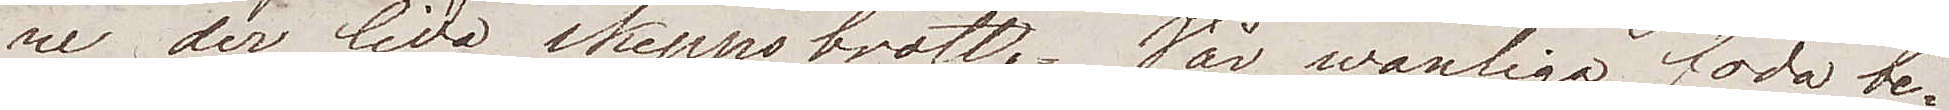re der lida skeppsbrott. Wår wanliga föda be¬
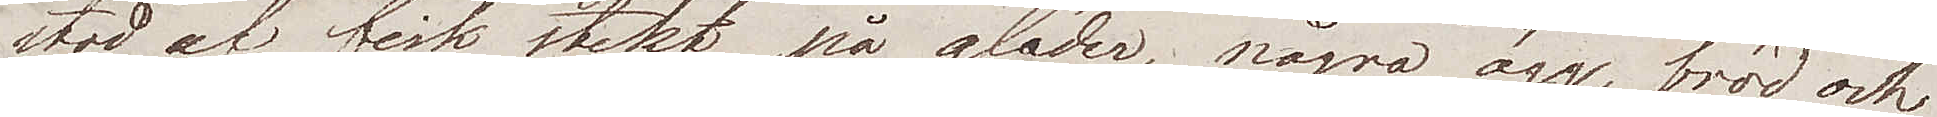stod af fisk stekt på glöden, några ägg, bröd och
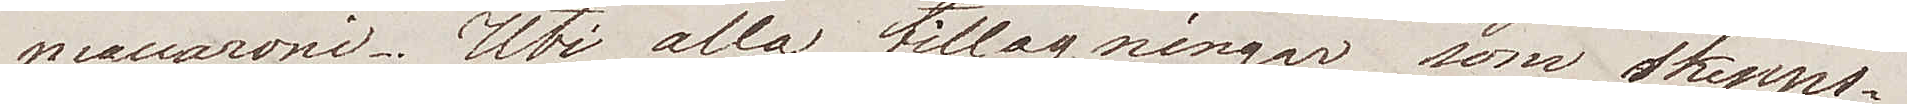maccaroni. Uti alla tillagningar som skepps¬
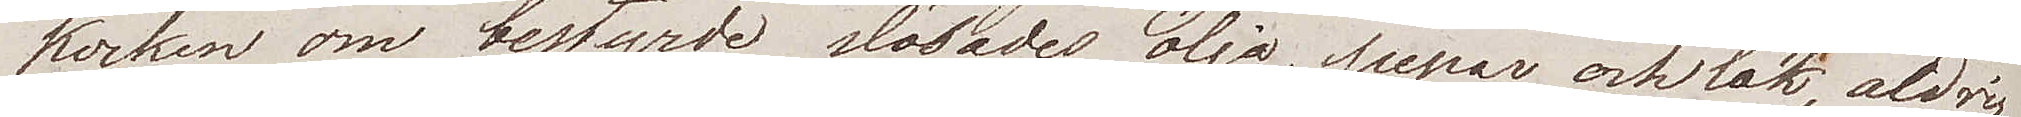kocken om bestyrde slösades olja, pepar och lök, aldrig
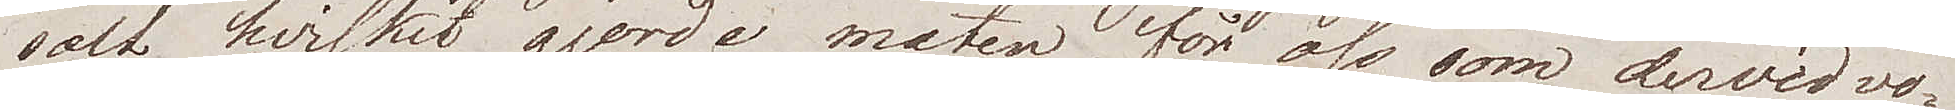salt, hvilket gjorde maten, för oss som dervid vo¬
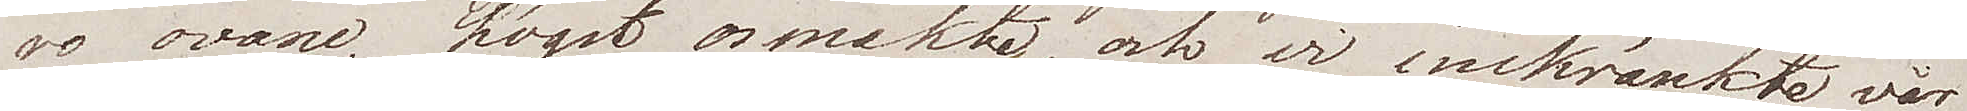ro ovane, högst osmaklig, och vi inskränkte vår
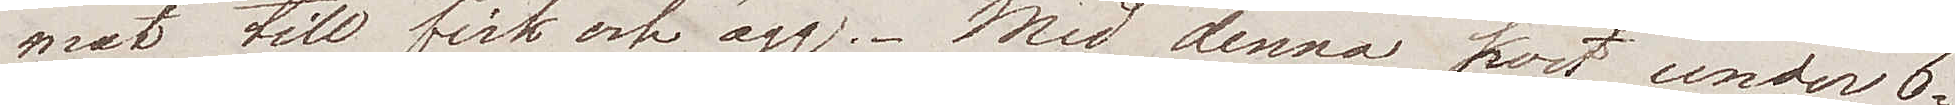mat till fisk och ägg. Med denna kost, under 6
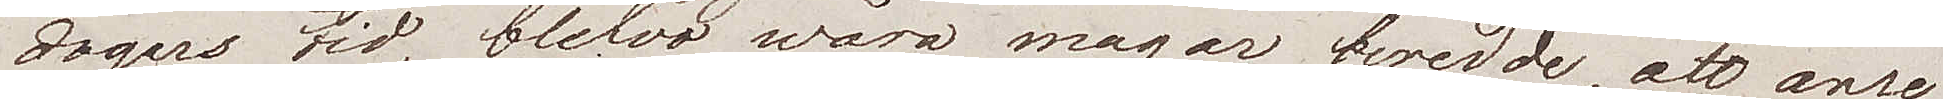dagars tid, blefvo wåra magar beredde, att anse
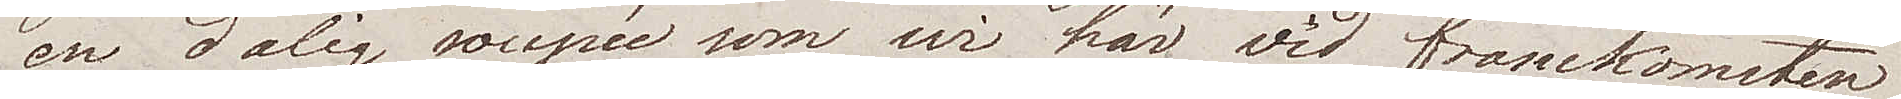en dålig soupée som wi här vid framkomsten
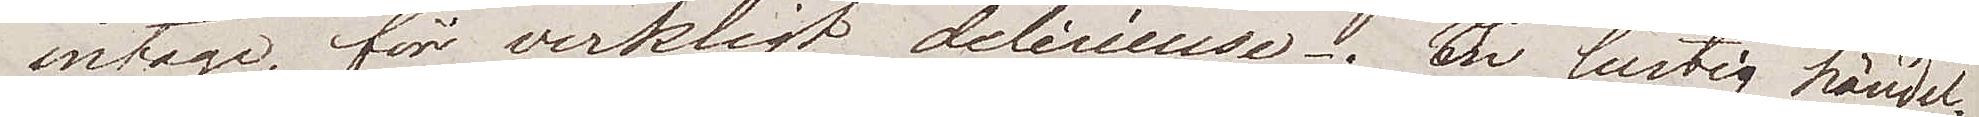intaga, för verkligt delicieuse. En hurtig händel¬
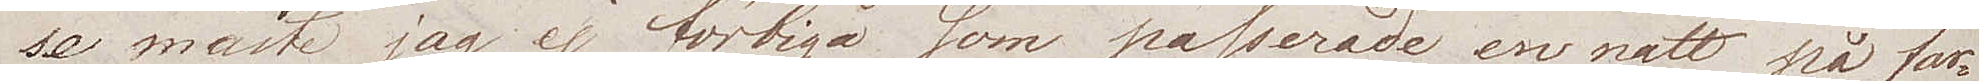se måste jag ej förtiga som passerade en natt på far¬
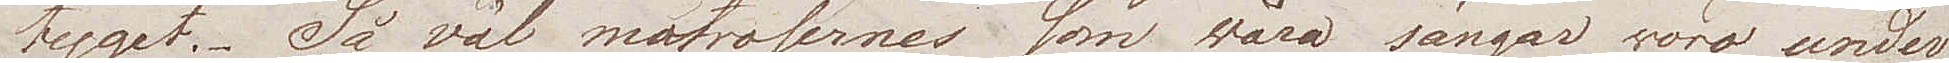tyget. Så väl matrosernes som wåra sängar woro under
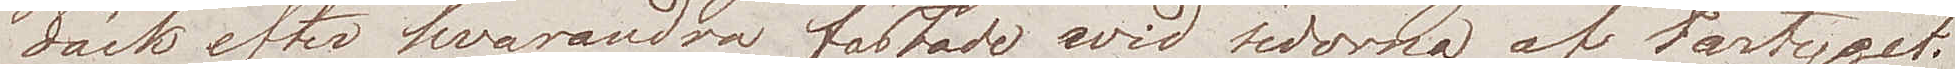däck efter hvarandra fästade wid sidorna af fartyget.
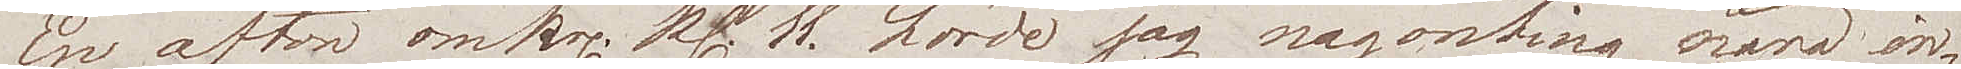En afton omkr. kl. 11 hörde jag någonting nära in¬
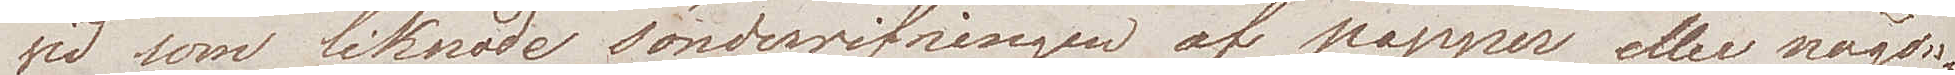vid som liknade sönderrifningen av papper eller någon¬
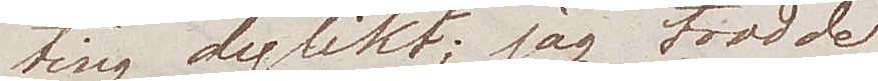ting dylikt; jag trodde
